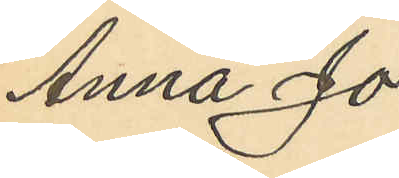Anna Jo¬
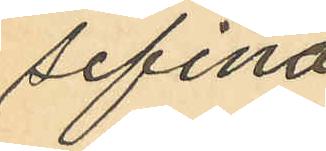sefina
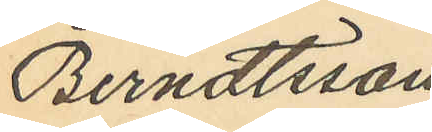Berndtsson
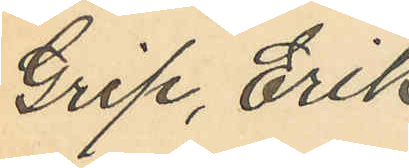Grip, Erik
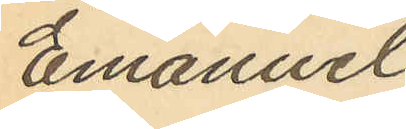Emanuel
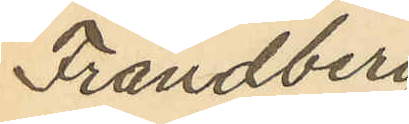Frändberg
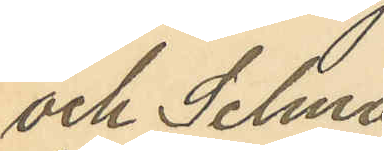och Selma
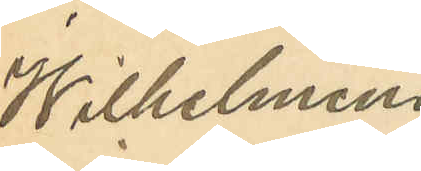Wilhelmina
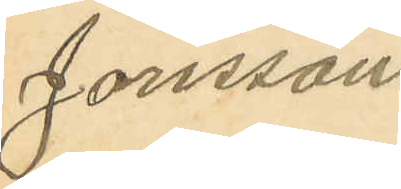Jonsson.
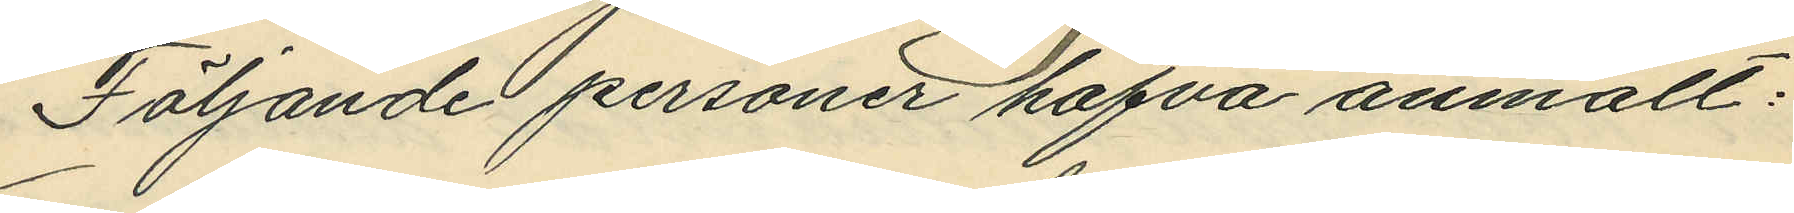Följande personer hafva anmält:
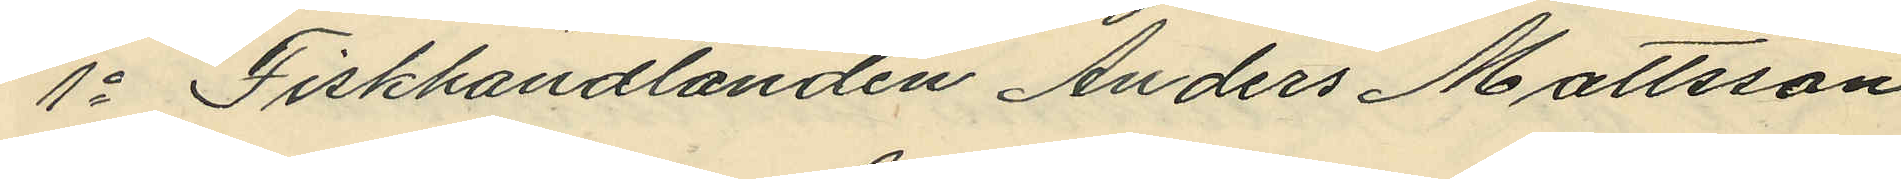1o Fiskhandlanden Anders Mattsson
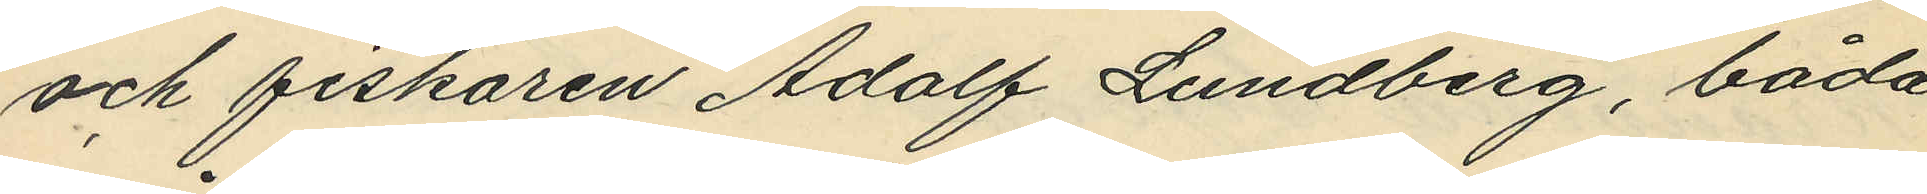och fiskaren Adolf Lundberg, båda
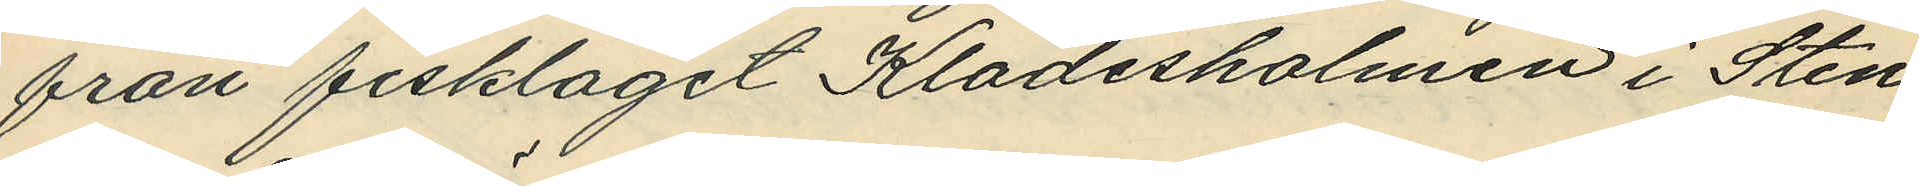från fisklaget Klädesholmen i Sten¬
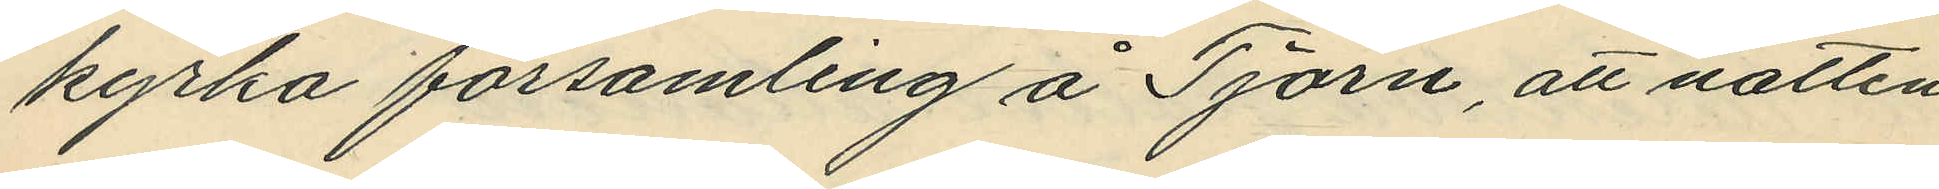kyrka församling å Tjörn, att natten
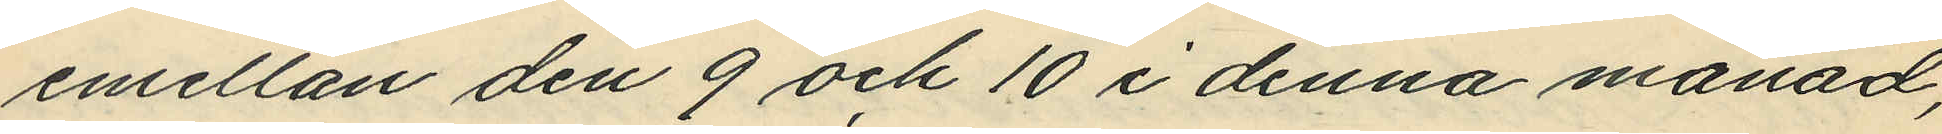emellan den 9 och 10 i denna månad,
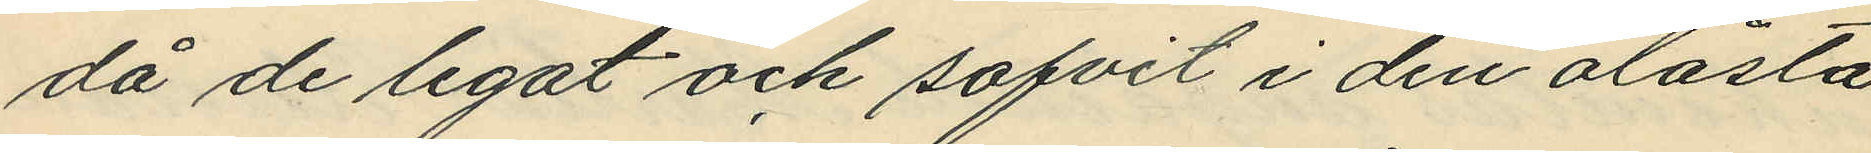då de legat och sofvit i den olåsta
